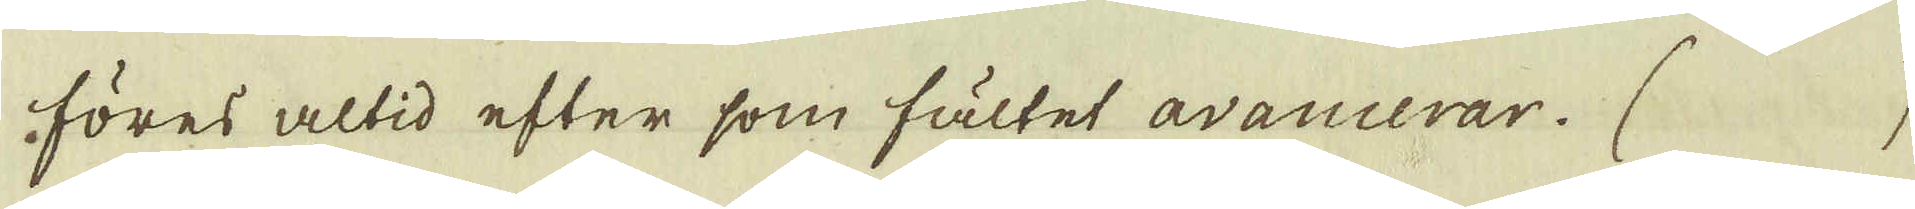föres altid efter som fältet avancerar. ( )
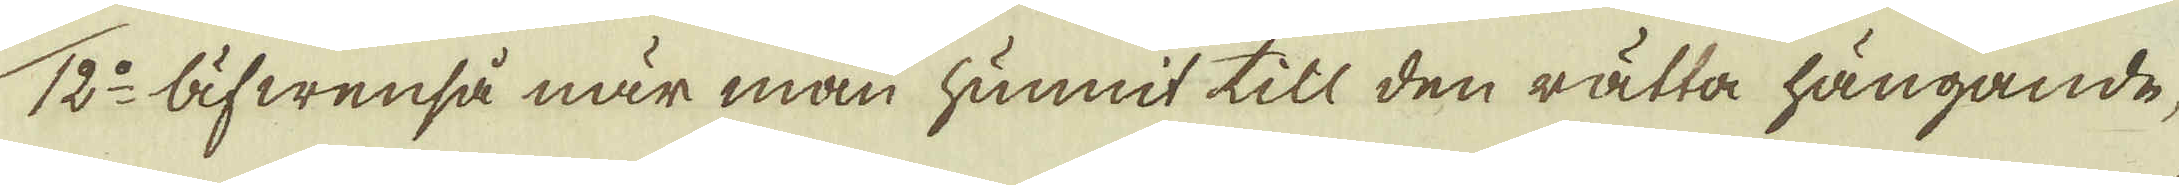12:o Äfwenså när man hunnit till den rätta hängande,
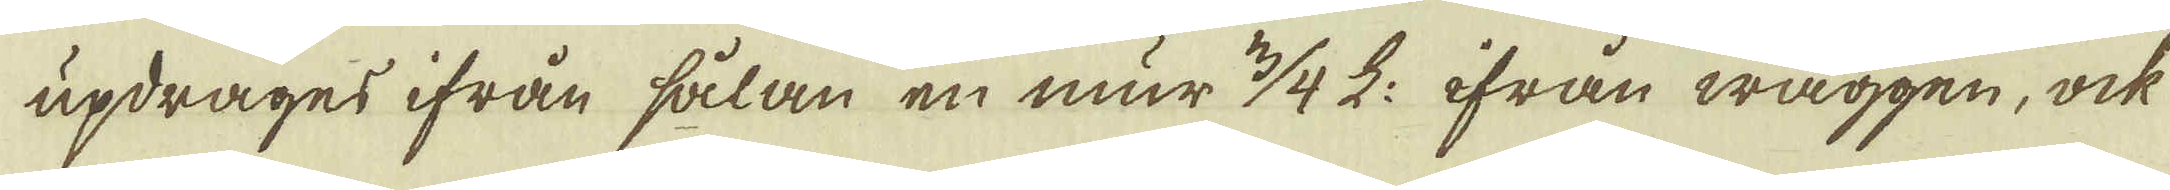updrages ifrån sålan en mur 3/4 L: ifrån wäggen, ock
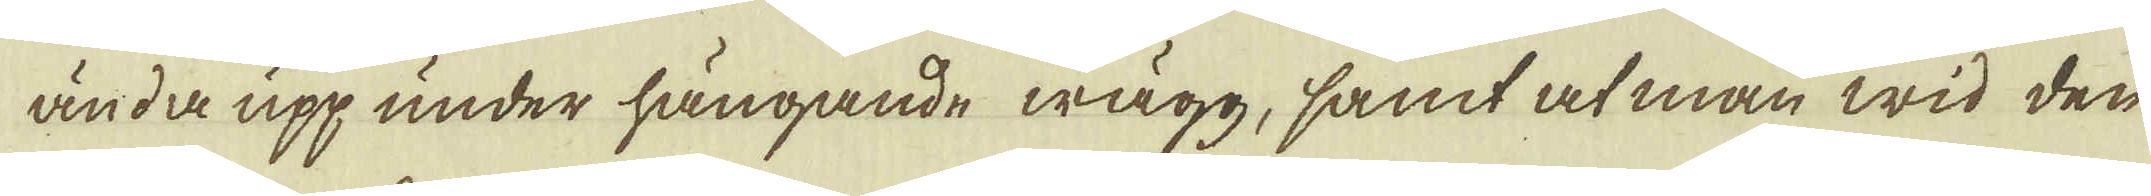ända upp under hängande wägg, samt at man wid den
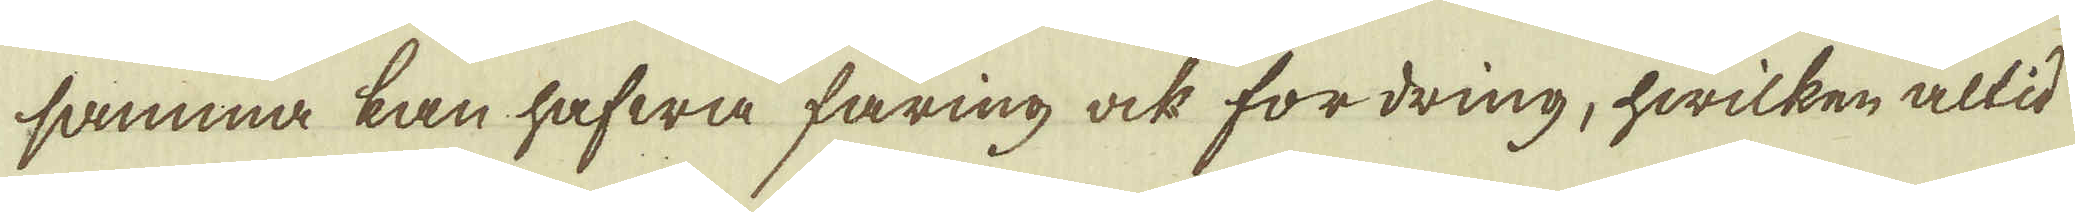samma kan hafwa faring ock fordring, hwilken altid
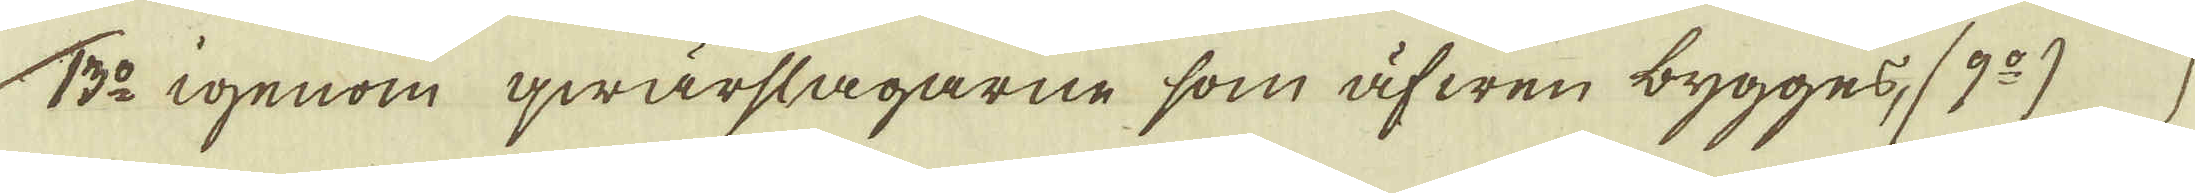13:o igenom qwärslagarne som äfwen bygges, (9:o)
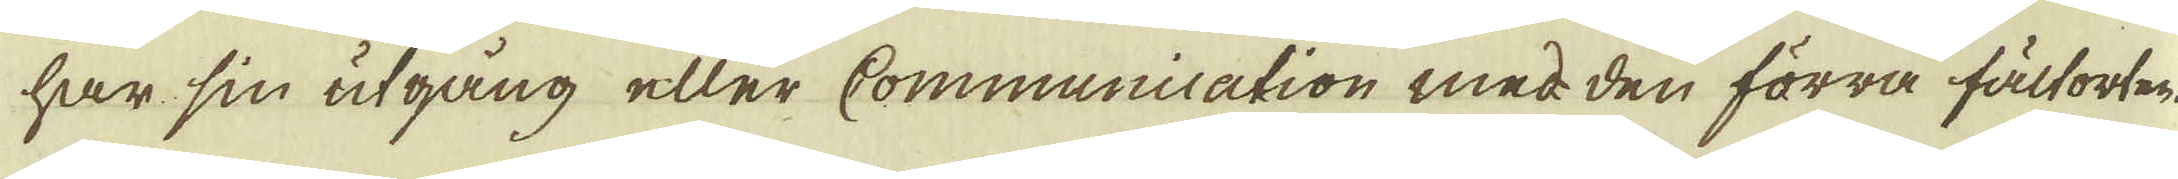har sin utgång eller Communication med den förra fältorten.
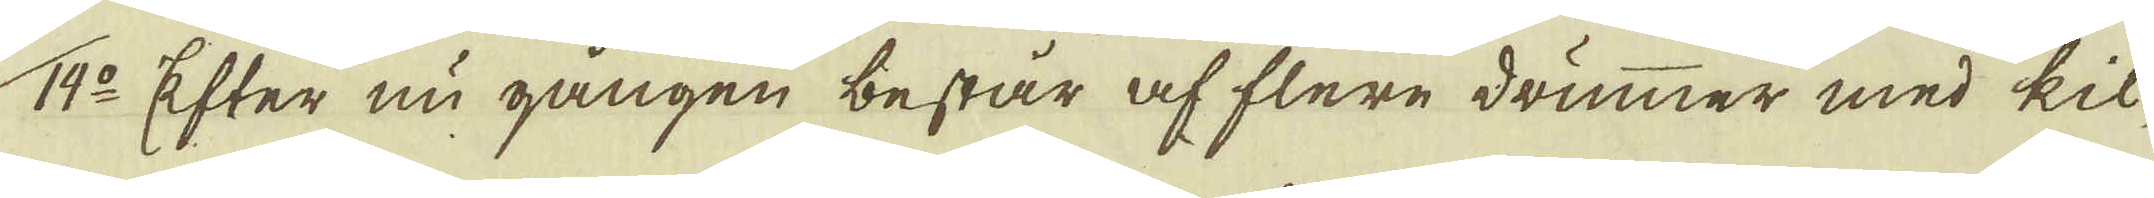14:o Efter nu gången består af flere drummer med kil-
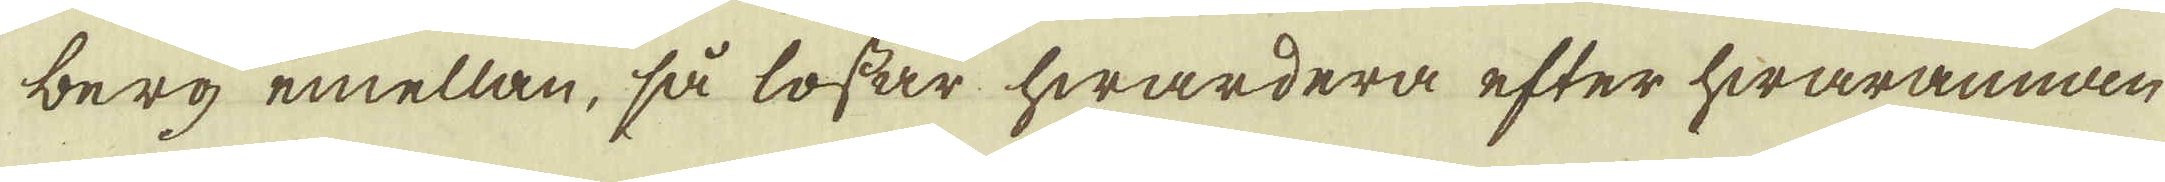berg emellan, så lossar hwardera efter hwarannan
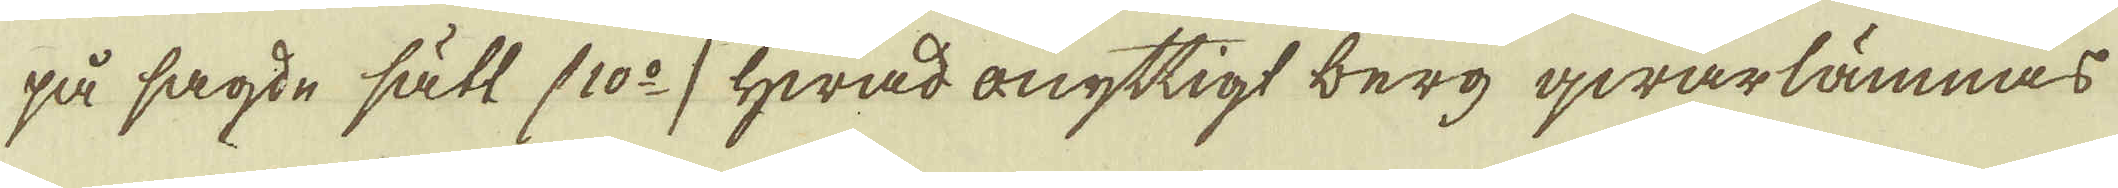på sagde sätt (10:o) hwad onyttigt berg qwarlämnas
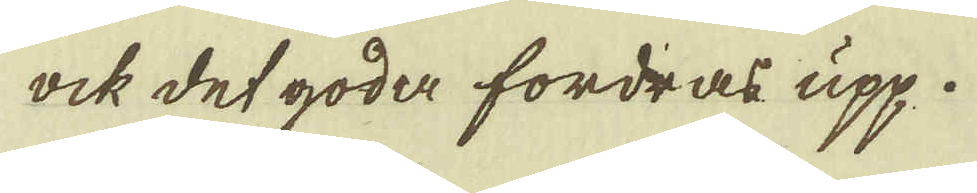ock det goda fordras upp.
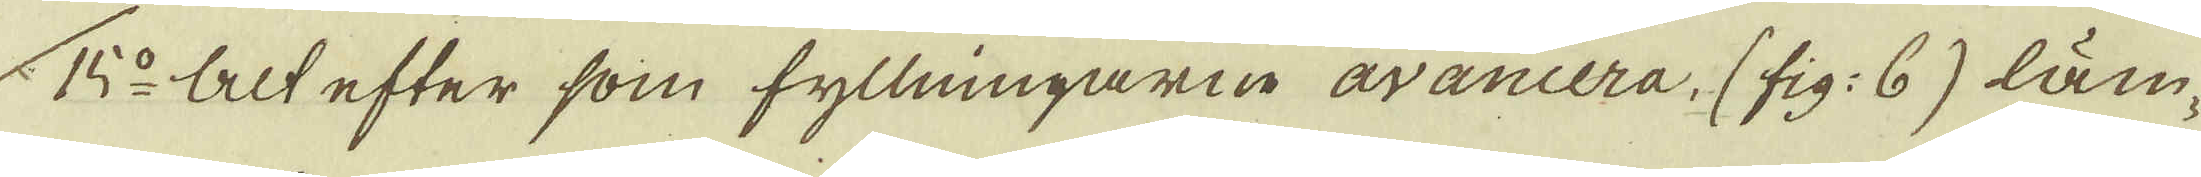15:o Alt efter som fyllningarne avancera. (fig: 6) läm-
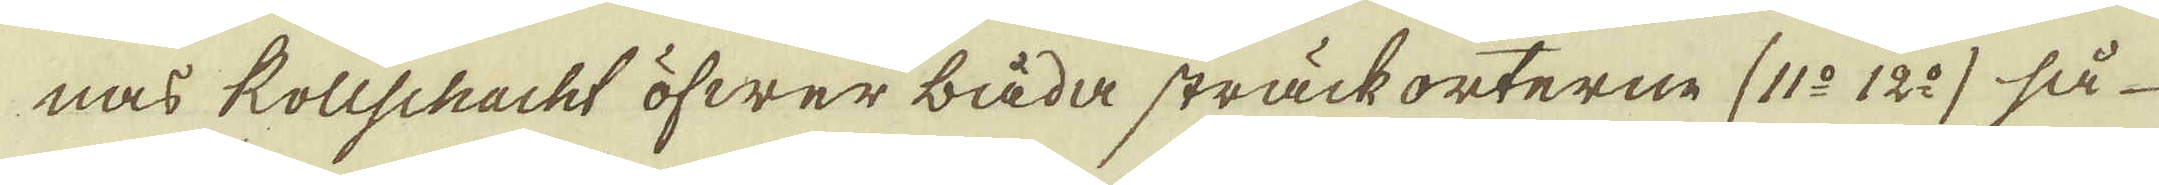nas kollschacht öfwer båda sträck orterne (11:o 12:o) så
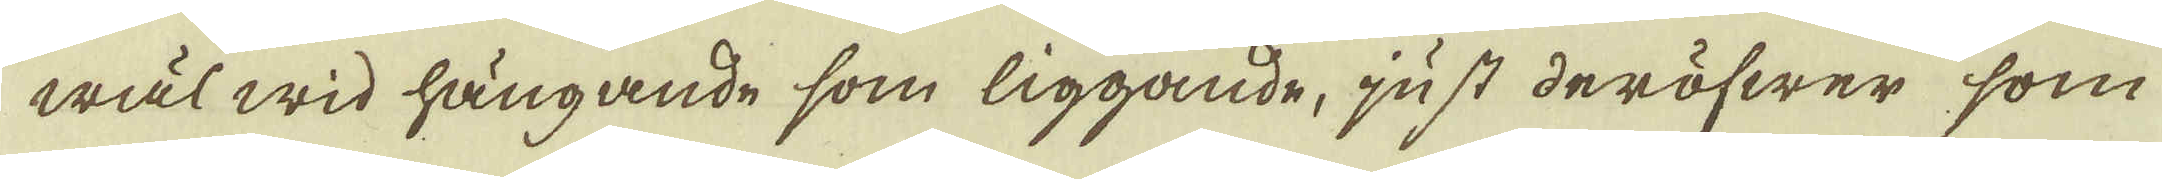wäl wid hängande som liggande, just deröfwer, som
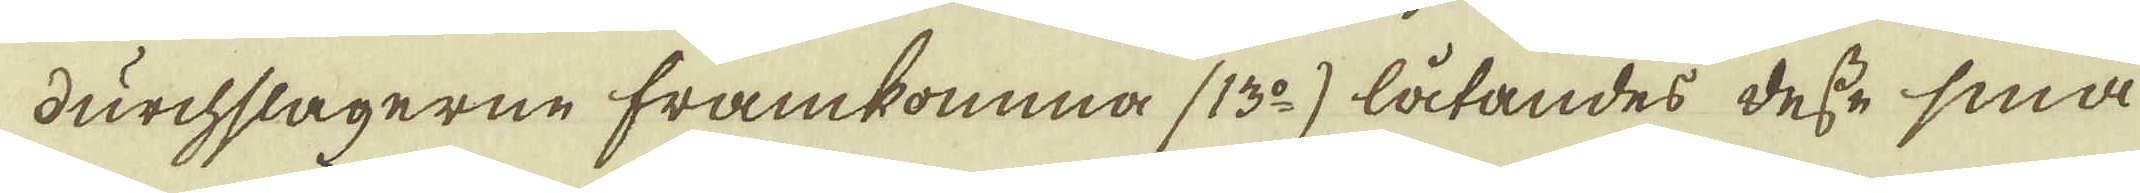durchslagerne framkomma (13:o) låtandes desse små
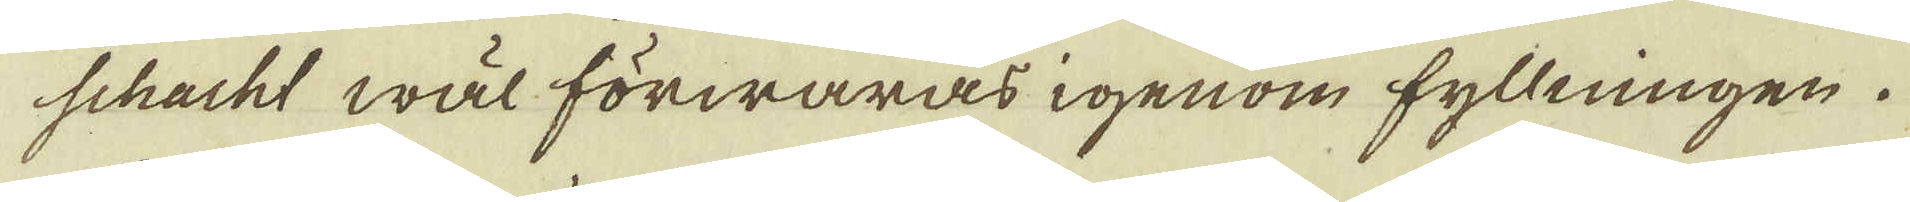schacht wäl förwaras igenom fyllningen.
